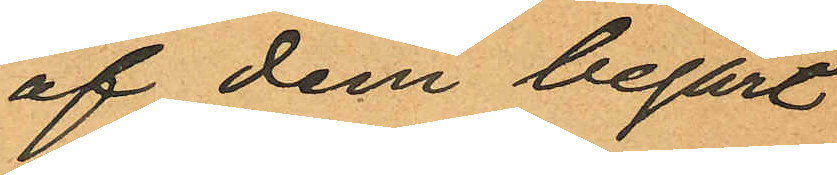af dem begärt
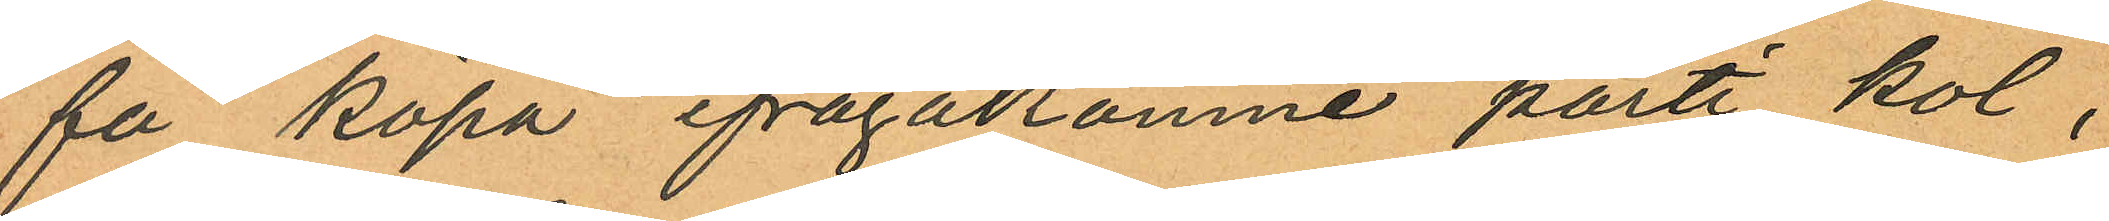få köpa ifrågakomne parti kol,
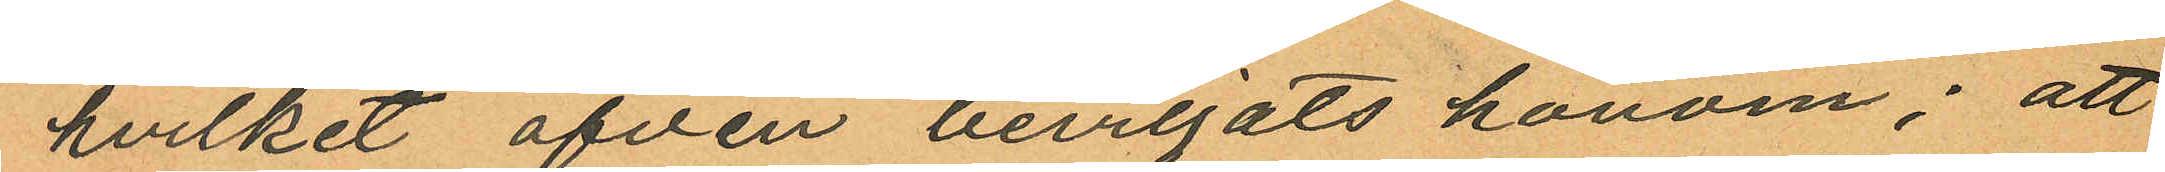hvilket äfven beviljats honom; att
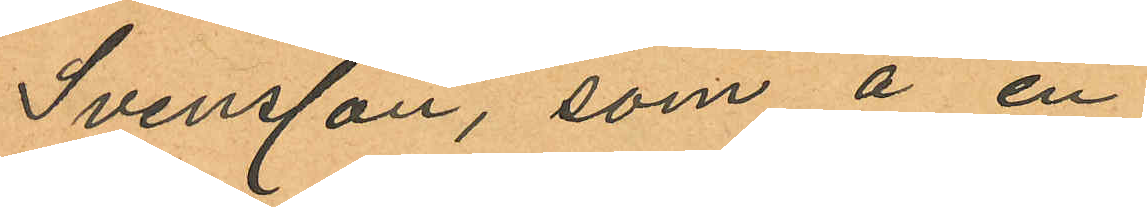Svensson, som å en
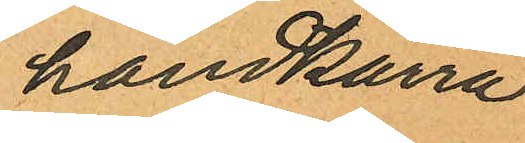handkärra
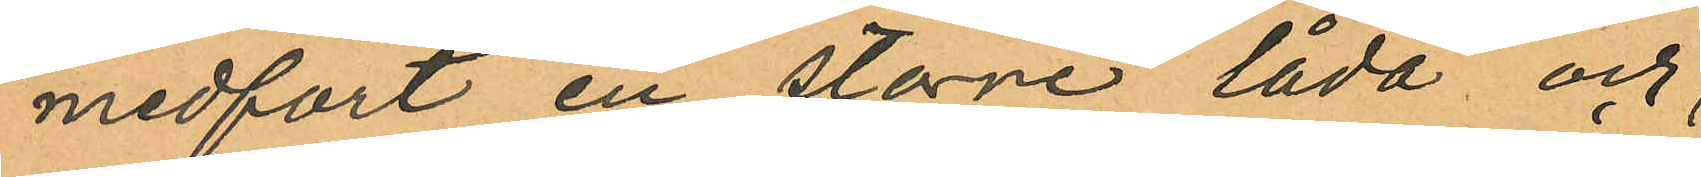medfört en större låda och
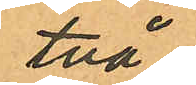två
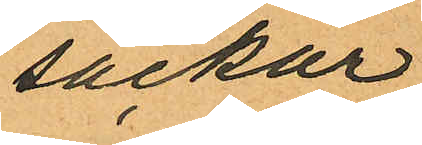säckar
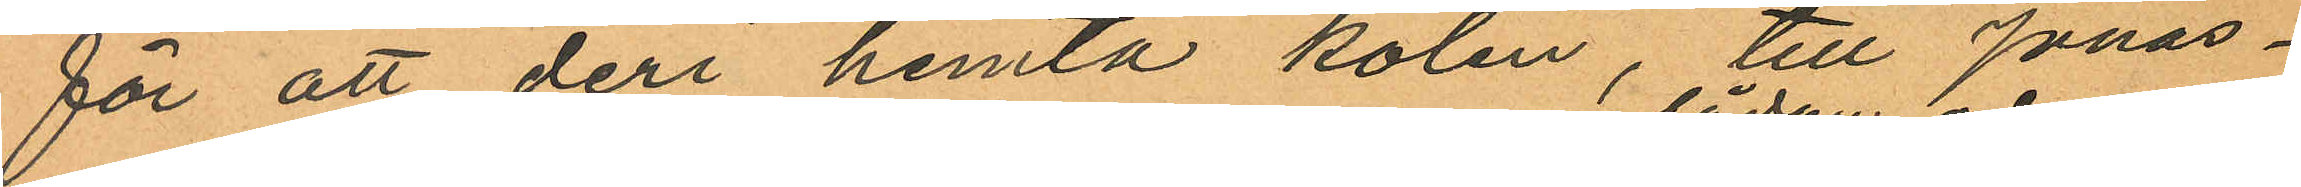för att deri hemta kolen, till Jonas¬
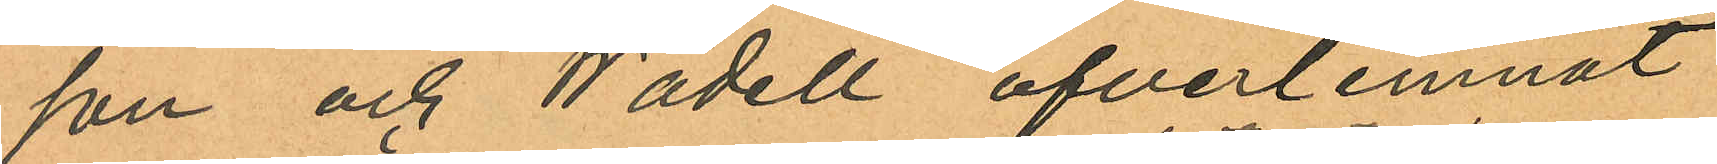son och Wadell öfverlemnat
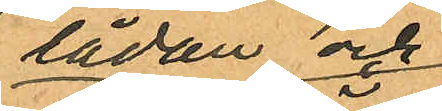lådan och
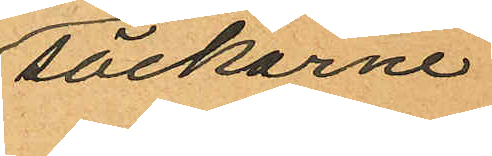säckarne
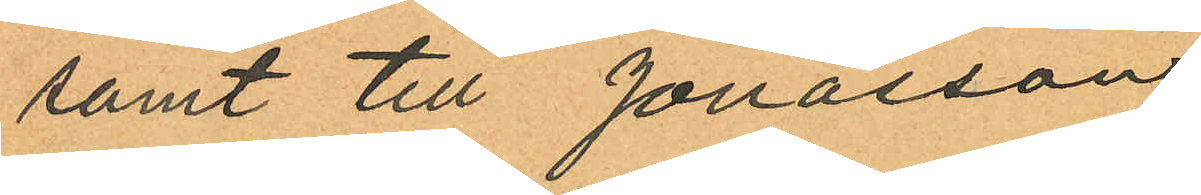samt till Jonasson
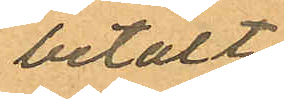betalt
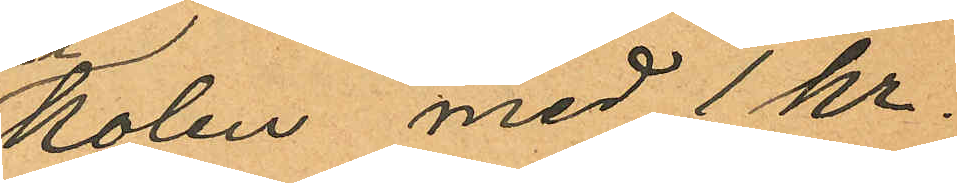kolen med 1 kr.
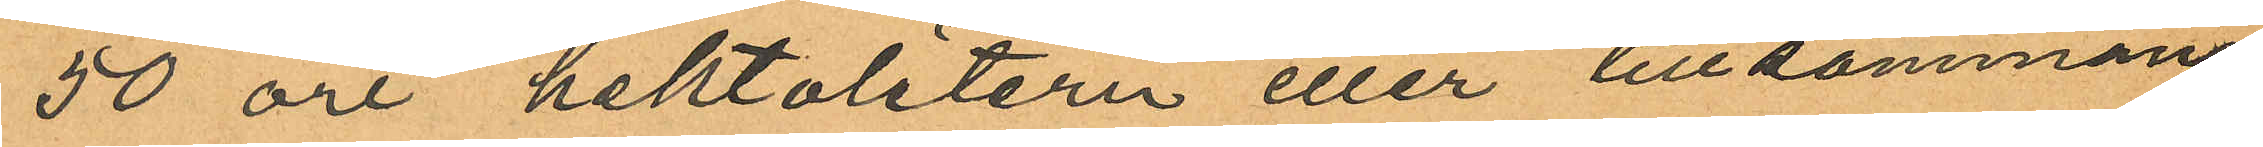50 öre hektolitern eller tillsammans
